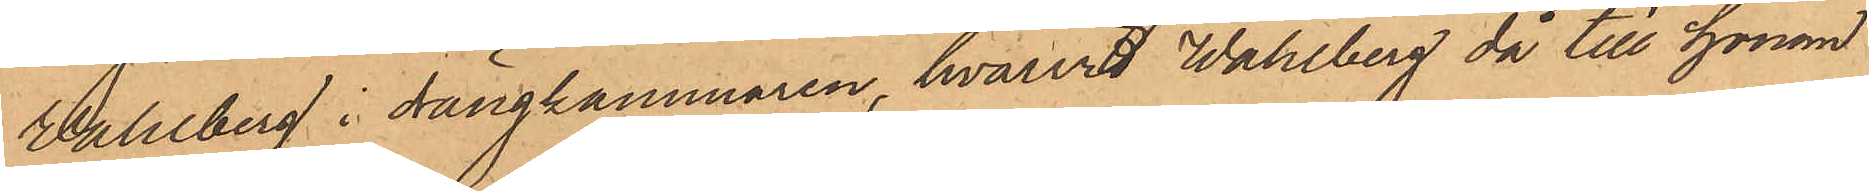Wahlberg i drängkammaren, hvarvid Wahlberg då till honom
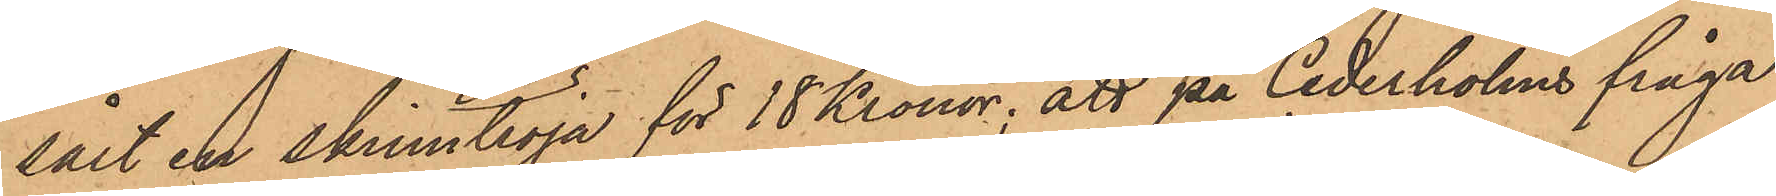sålt en skinntröja för 18 Kronor; att på Cederholms fråga
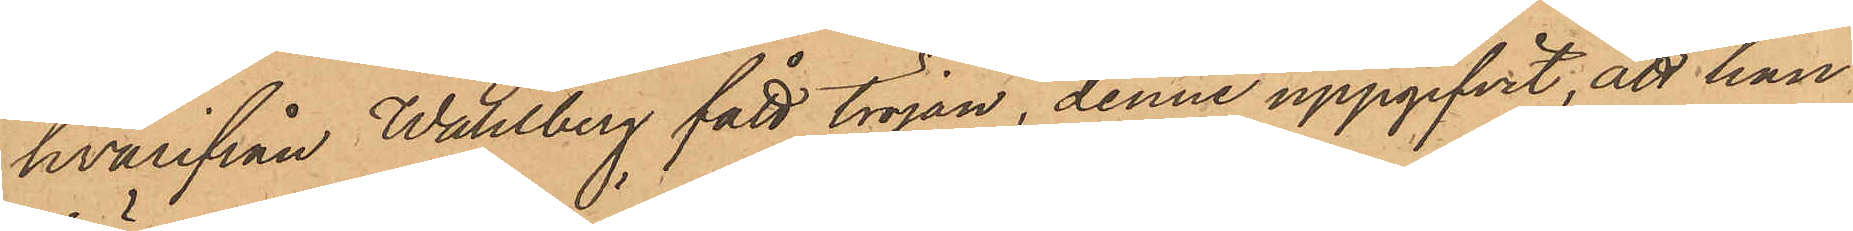hvarifrån Wahlberg fått tröjan, denne uppgifvit, att han
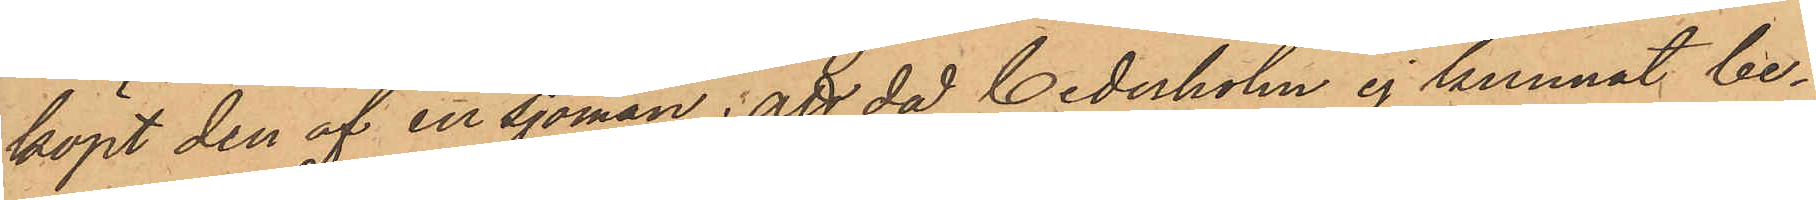köpt den af en sjöman; att då Cederholm ej kunnat be¬
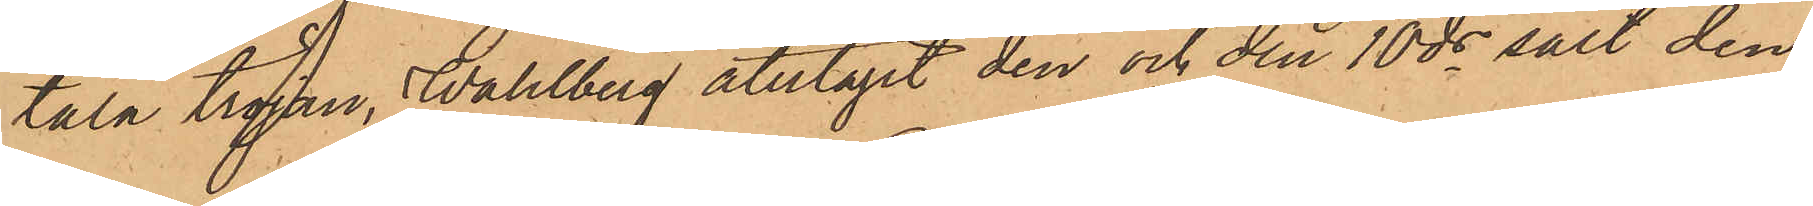tala tröjan, Wahlberg återtagit den och den 10 ds sålt den¬
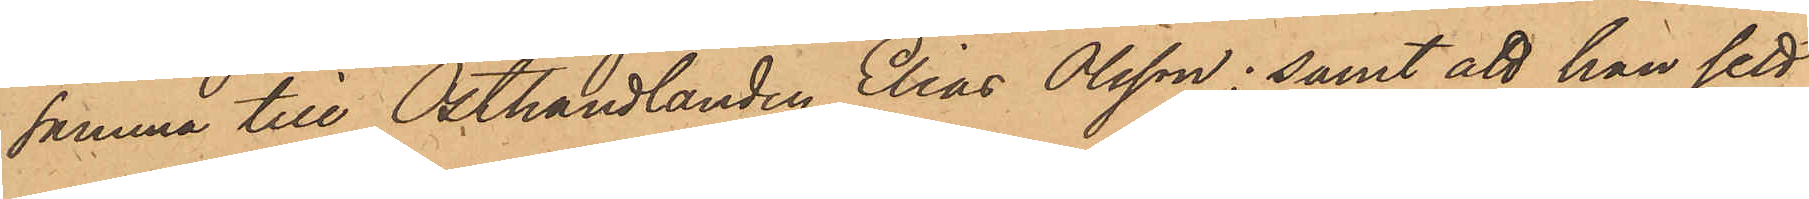samma till Osthandlanden Elias Olsson; samt att han sett
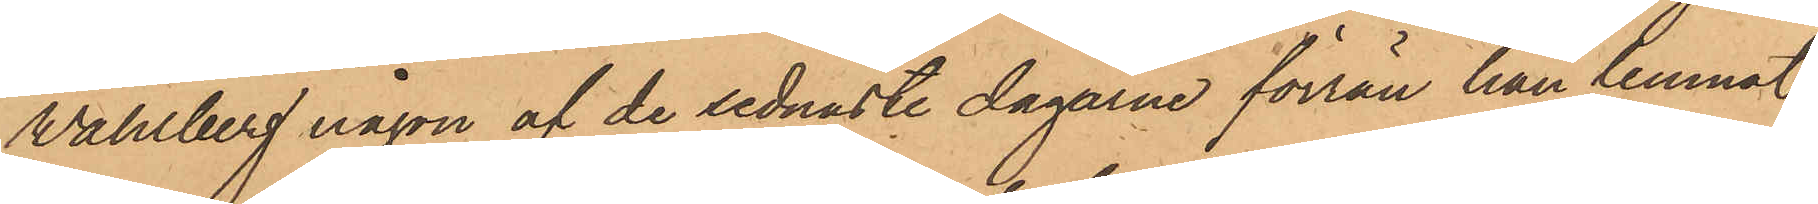Wahlberg någon af de sednaste dagarne förrän han lemnat
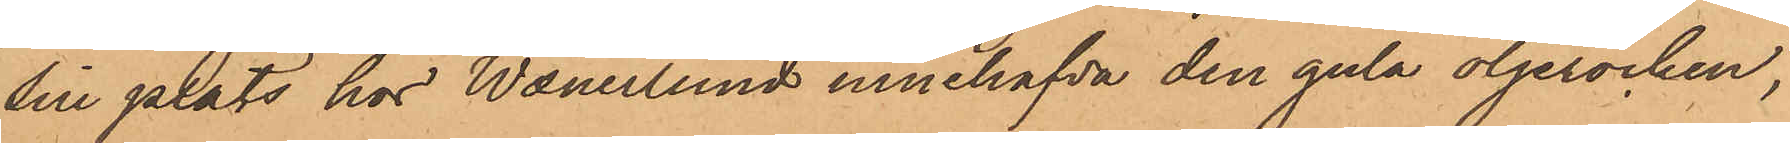sin plats hos Wanerlund innehafva den gula oljerocken,
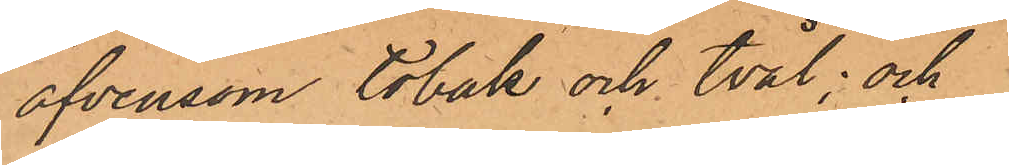äfvensom tobak och tvål; och
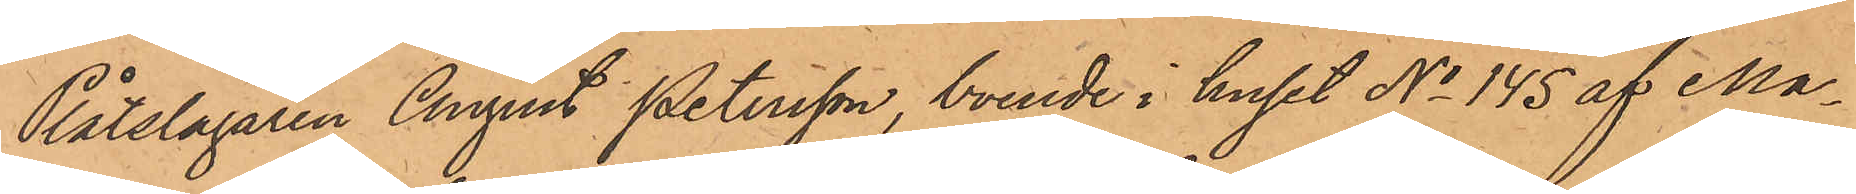Plåtslagaren August Petersson, boende i huset No 145 af Ma¬
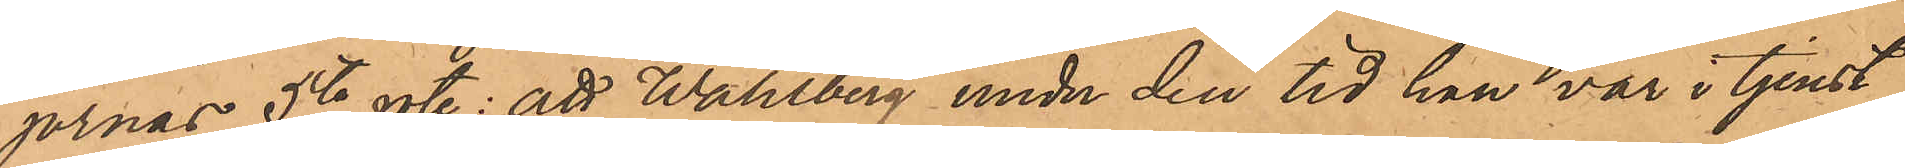jornas 5te rote: att Wahlberg under den tid han var i tjenst
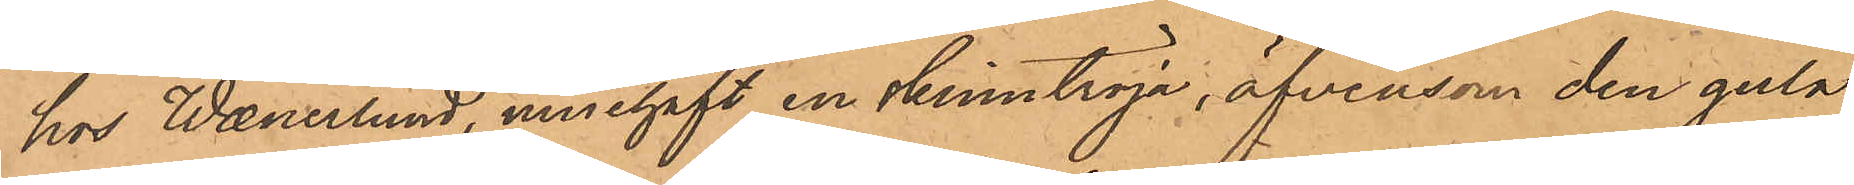hos Wenerlund, innehaft en skinntröja, äfvensom den gula
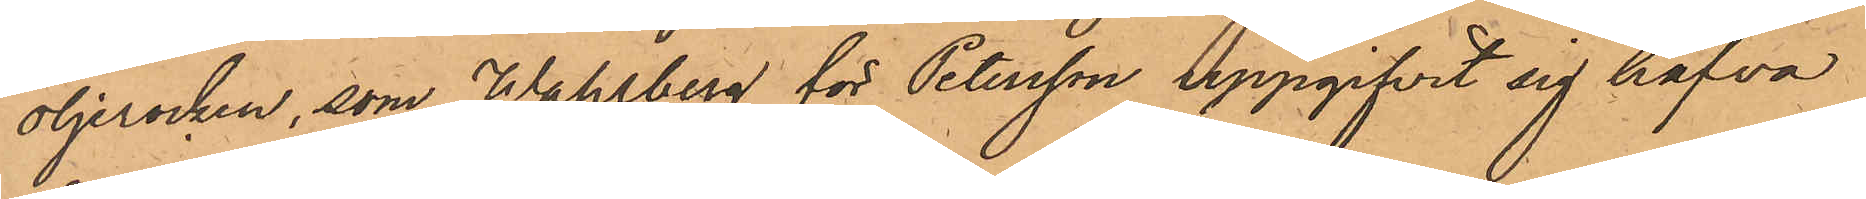oljerocken, som Wahlberg för Petersson uppgifvit sig hafva
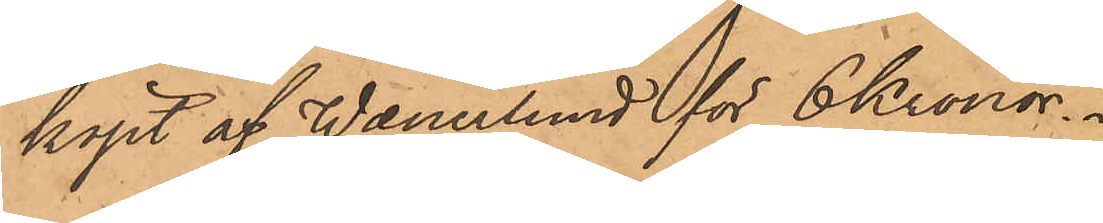köpt af Wanerlund för 6 Kronor.
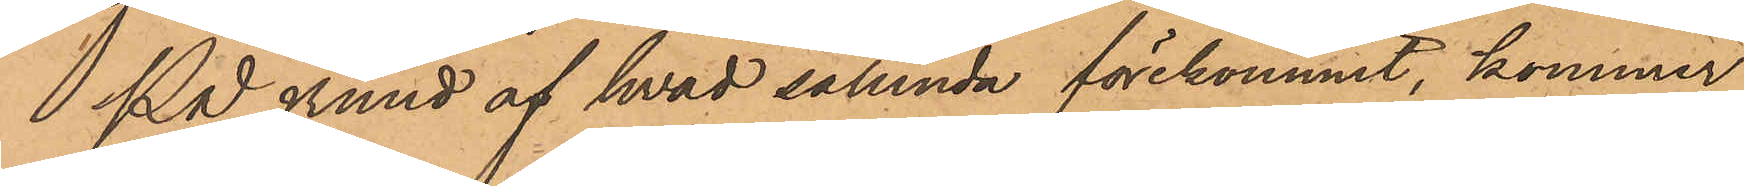På grund af hvad sålunda förekommit, kommer
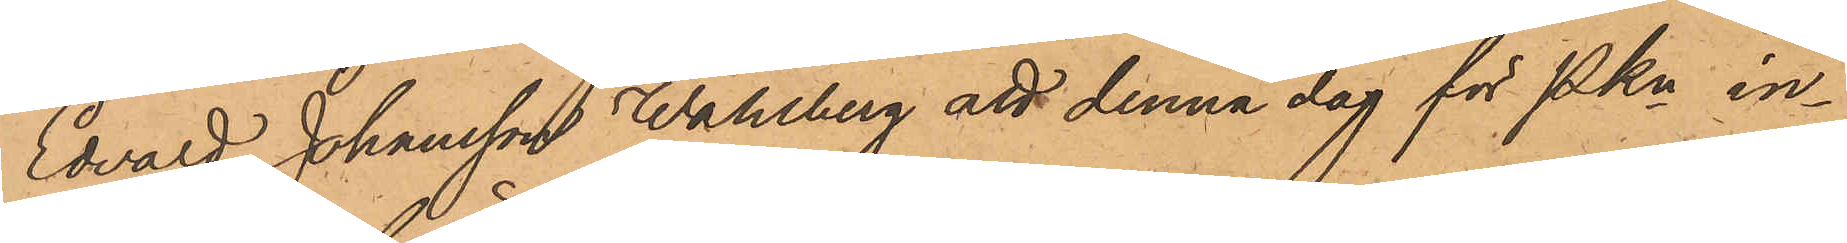Edvard Johansson Wahlberg att denna dag för Pkn in¬
